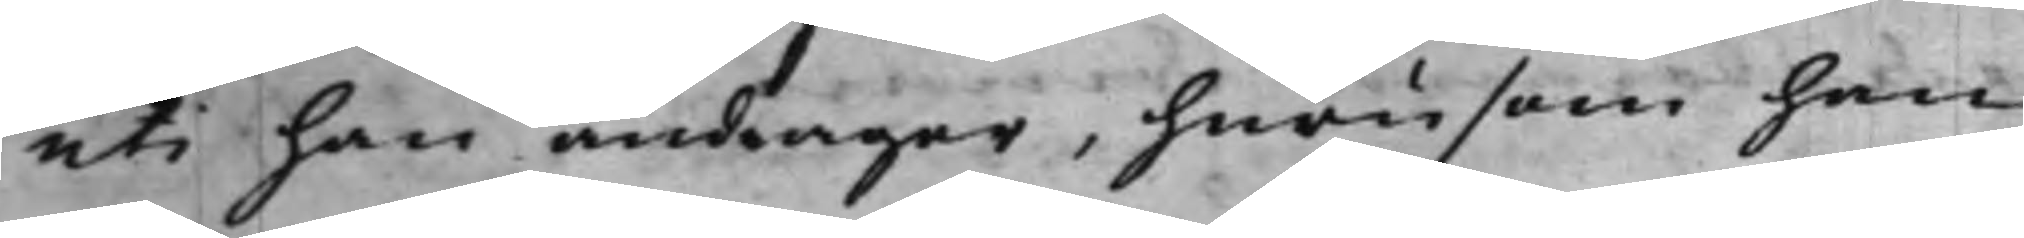uti han andrager, huru som han
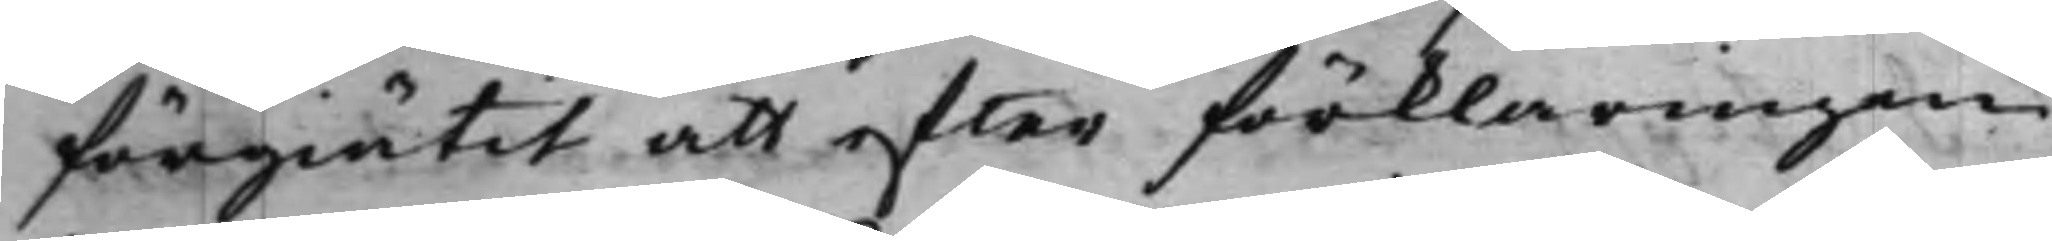förgiätit att efter förklaringen
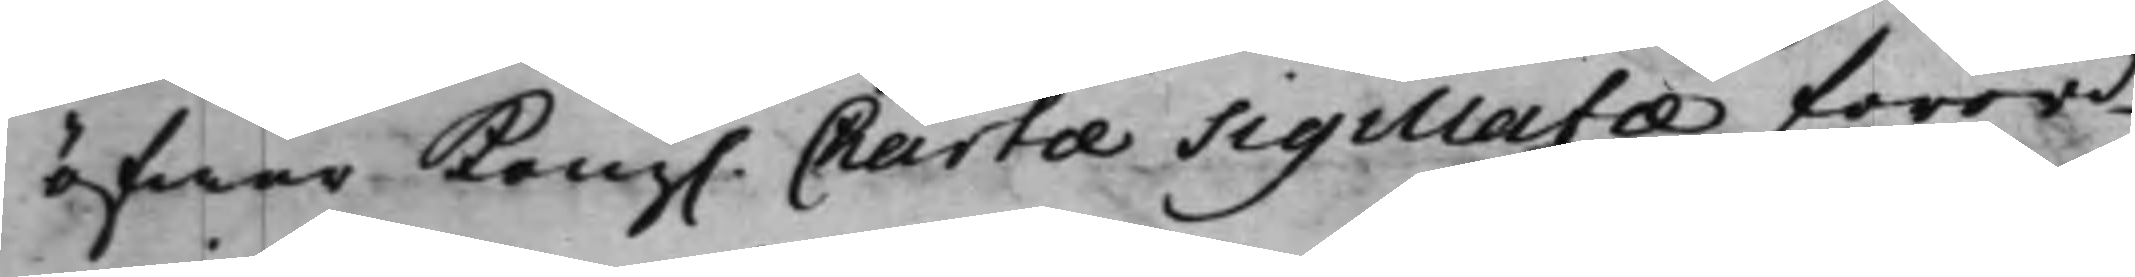öfwer Kong. Charta Sigillata förord¬
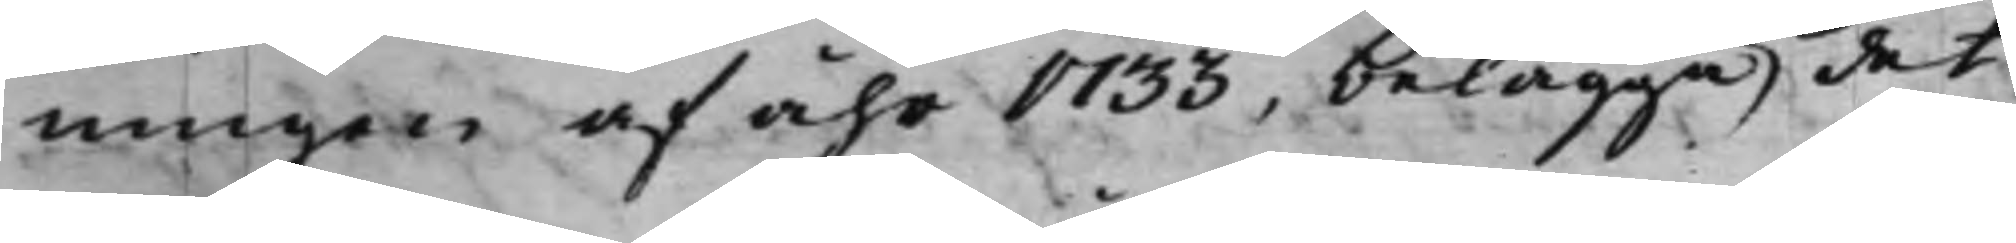ningen af åhr 1733, belägga det
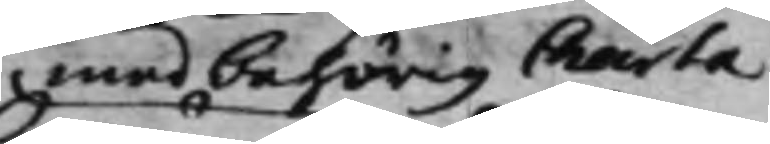med behörig Charta
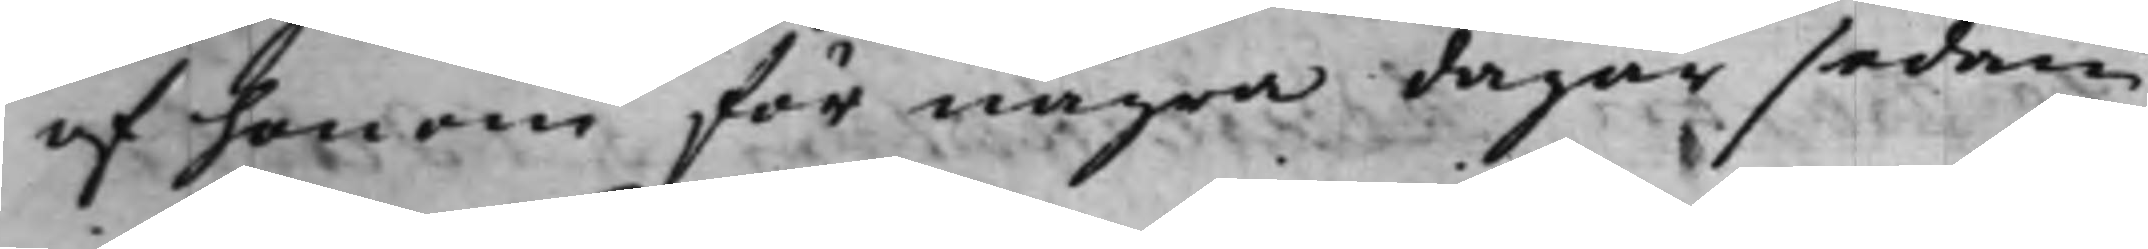af honom för några dagar sedan
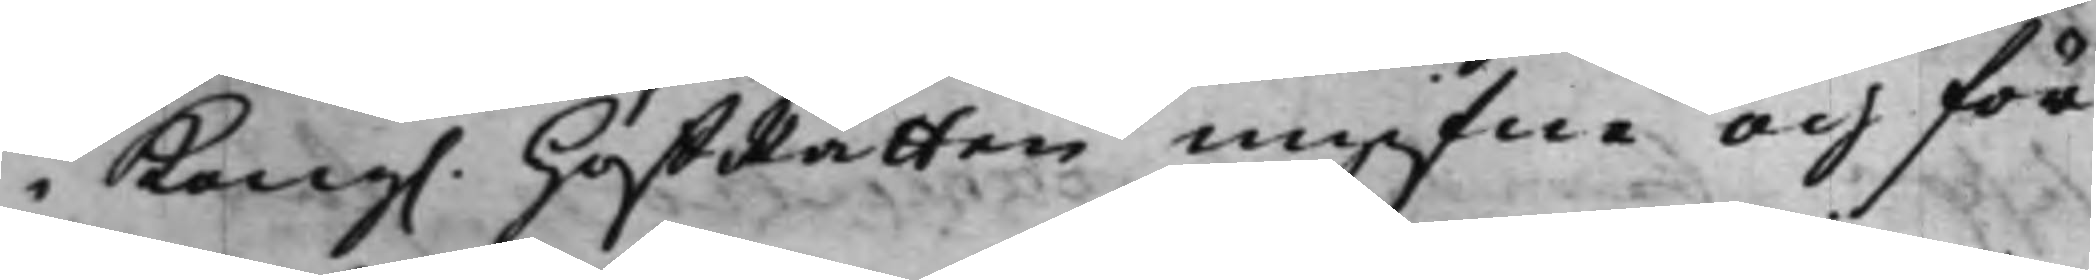i Kong. HofRätten ingifne och för¬
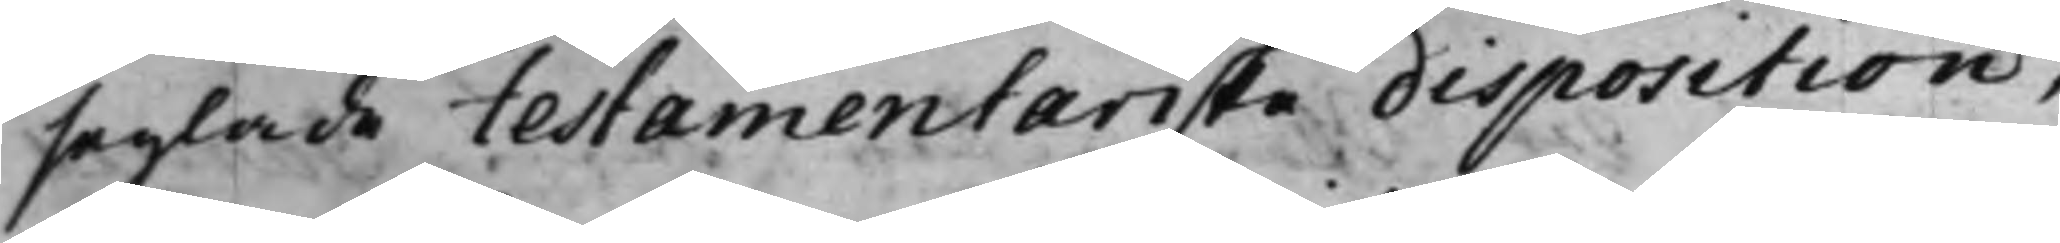seglade testamentariska disposition,
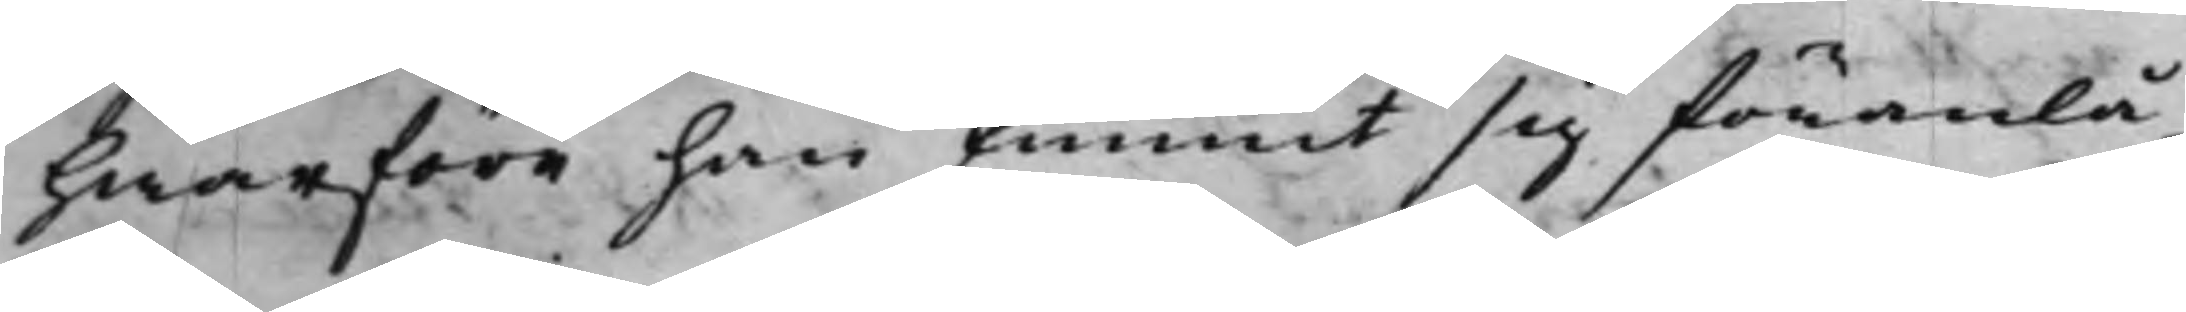hwarföre han funnit sig föranlå¬
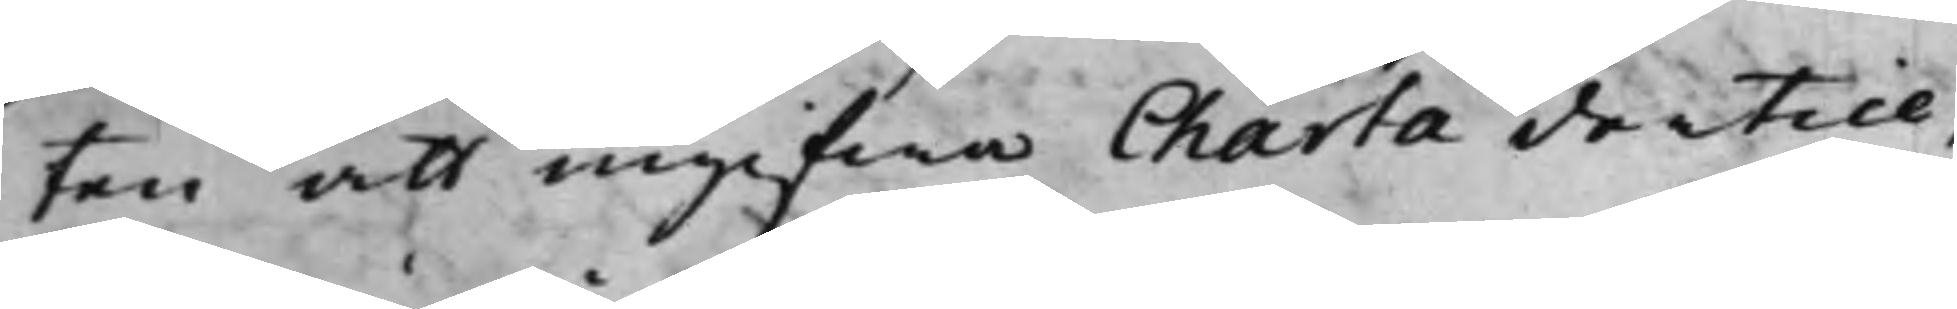ten att ingifwa Charta dertill,
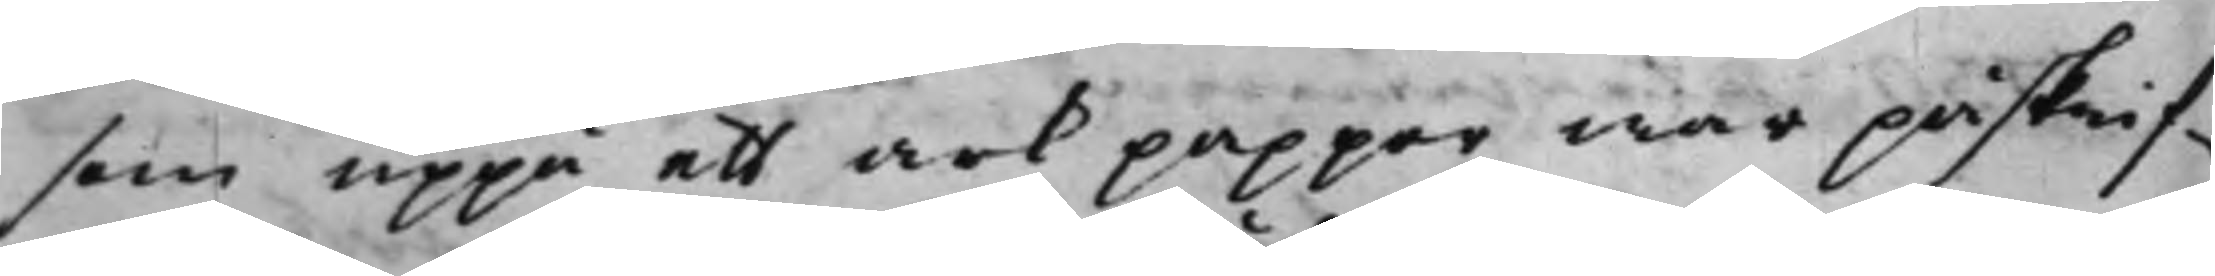som uppå ett ark papper war påskrif¬
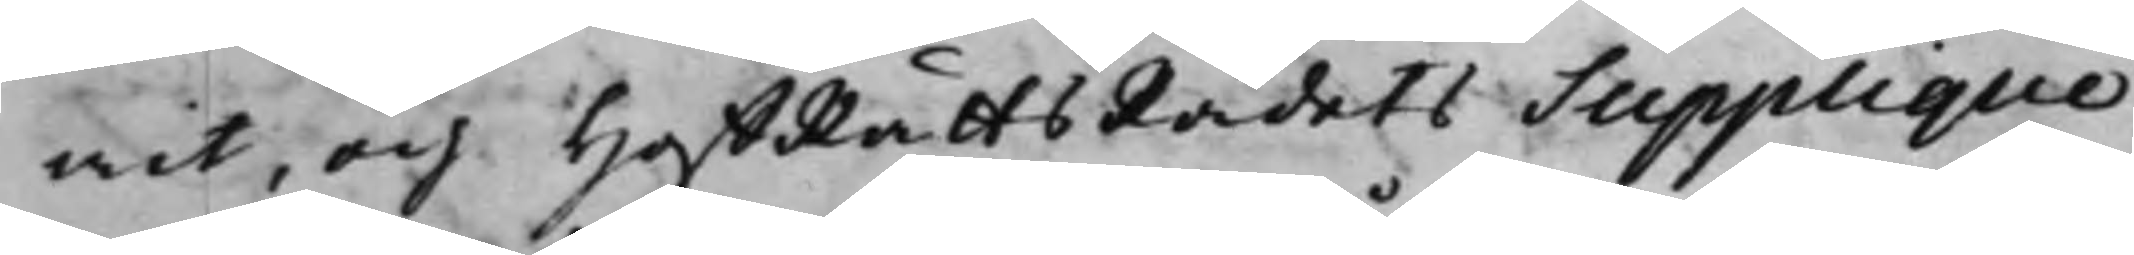wit, och HoffRättsRådets Supplique
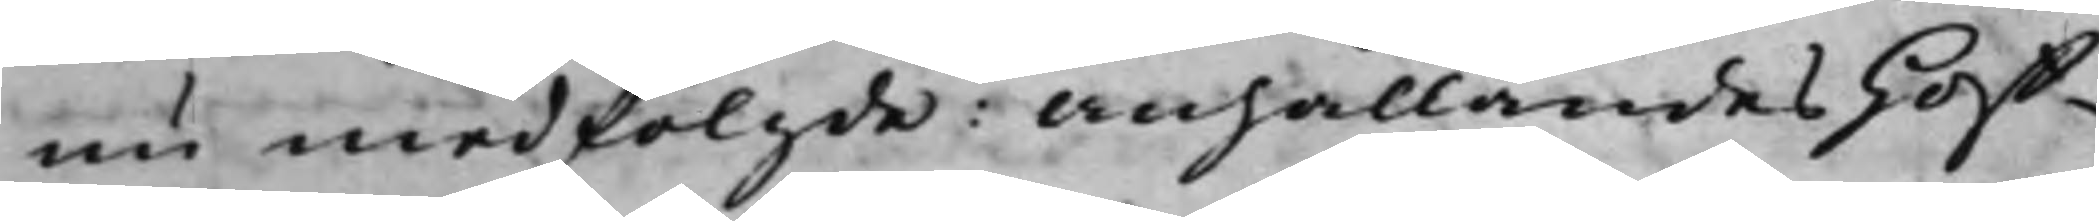nu medföljde: anhållandes Hoff¬
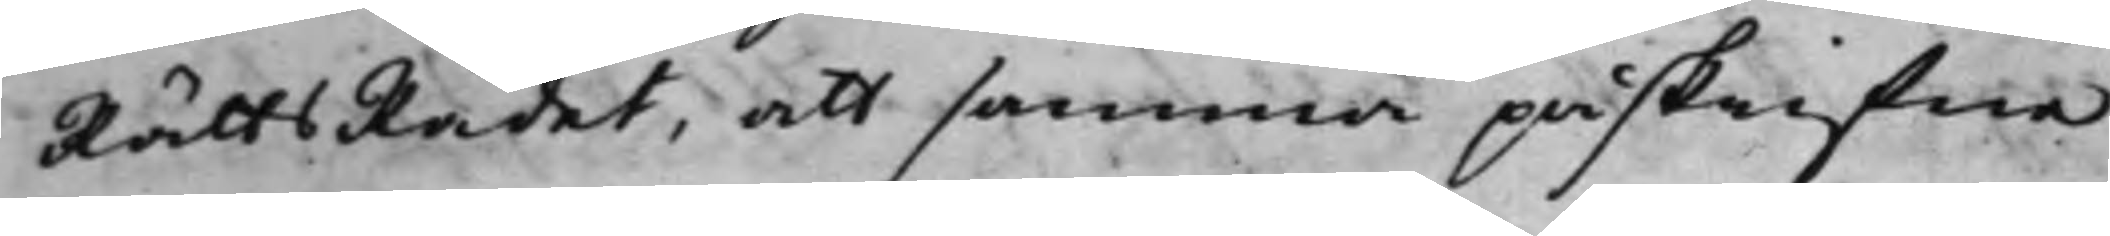RättsRådet, att samma påskrifne
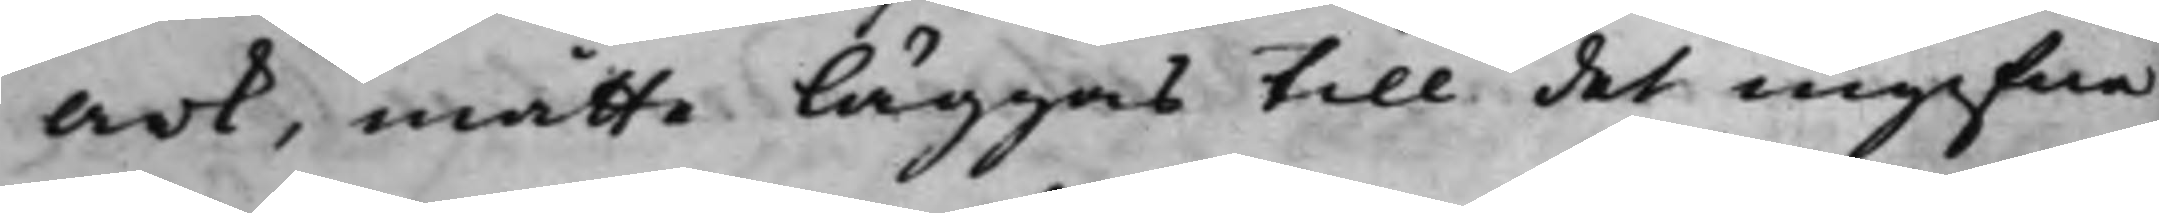ark, måtte läggas till det ingifne
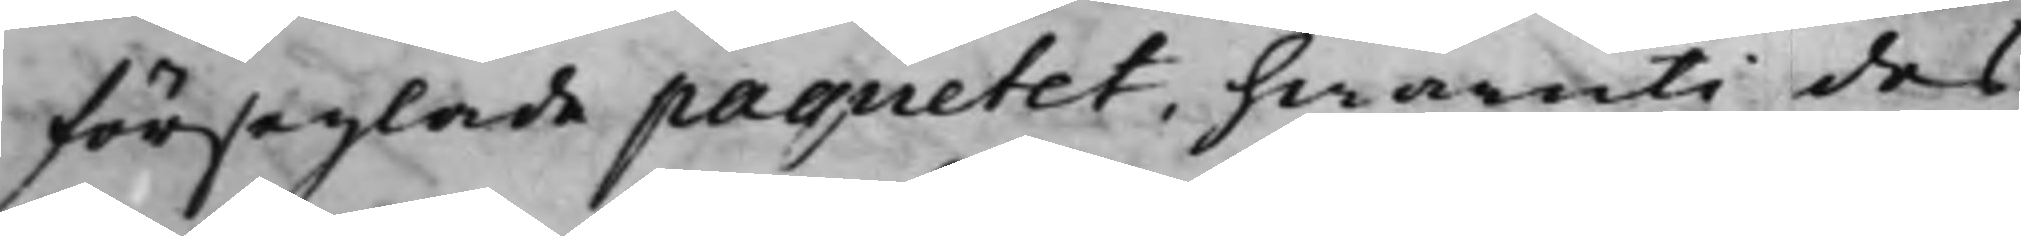förseglade paquetet, hwaruti des
